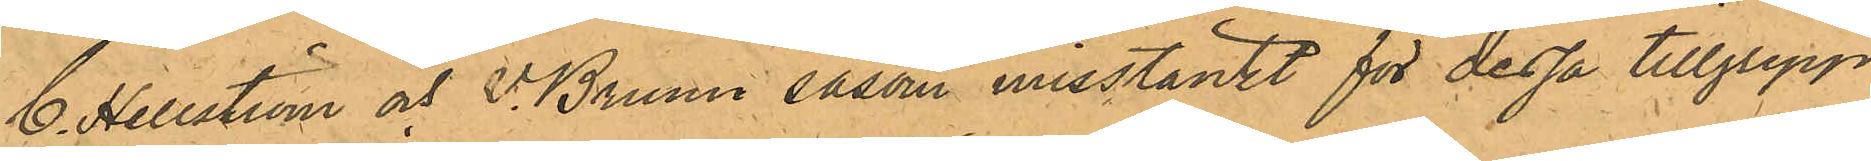C. Hellström och V. Bruun såsom misstänkt för dessa tillgrepp
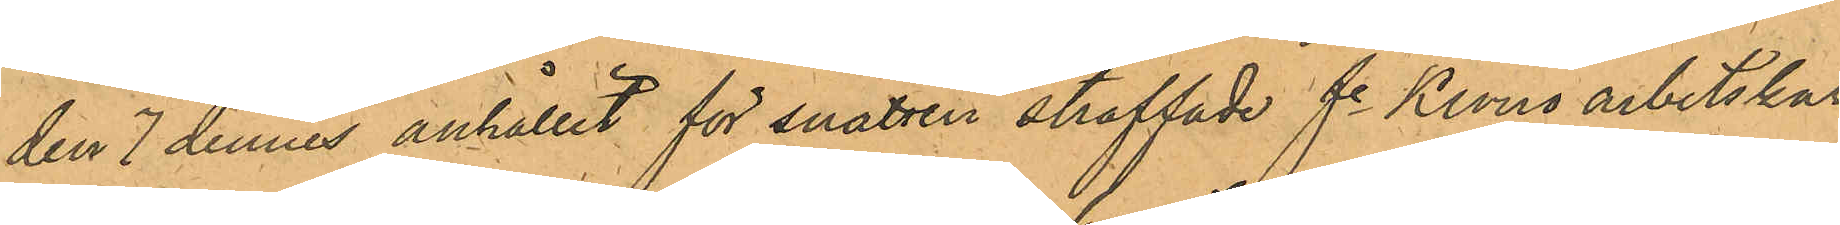den 7 dennes anhållit för snatteri straffade fe Krono arbetskar¬
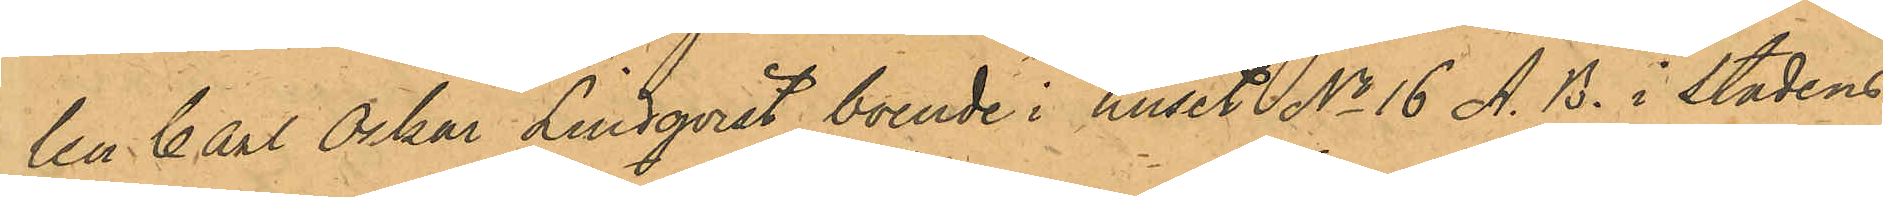len Carl Oskar Lindqvist, boende i huset No 16 A. B. i stadens
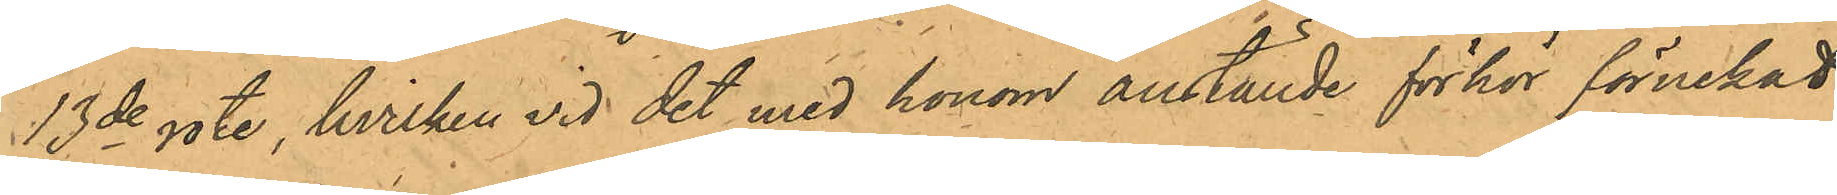13de rote, hvilken vid det med honom anställde förhör förnekat
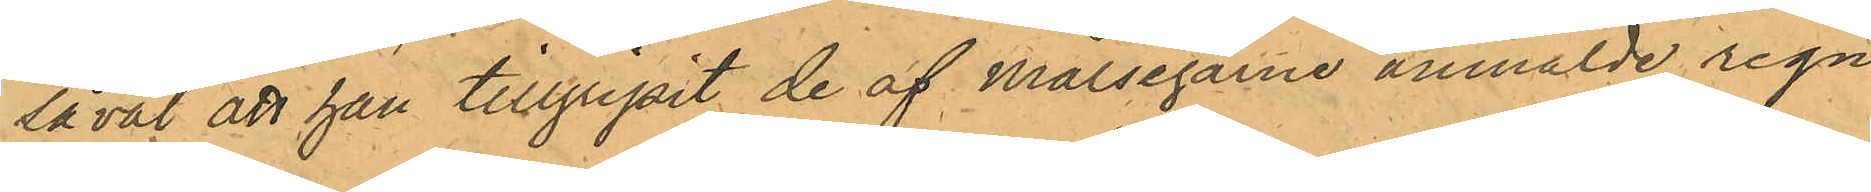såväl att han tillgripit de af Målsegarne anmälde regn¬
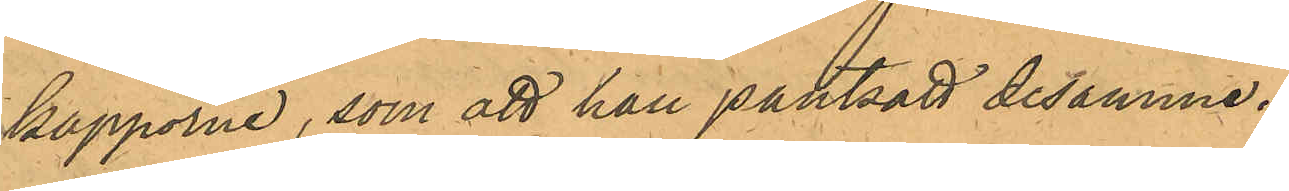kapporne, som att han pantsatt desamme.
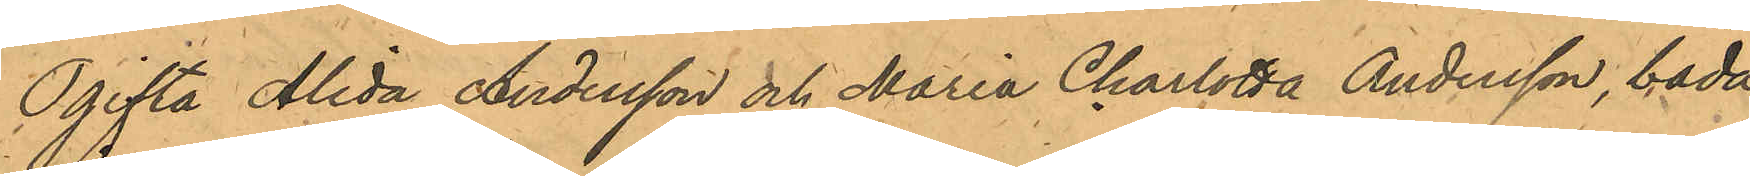Ogifta Alida Andersson och Maria Charlotta Andersson, båda
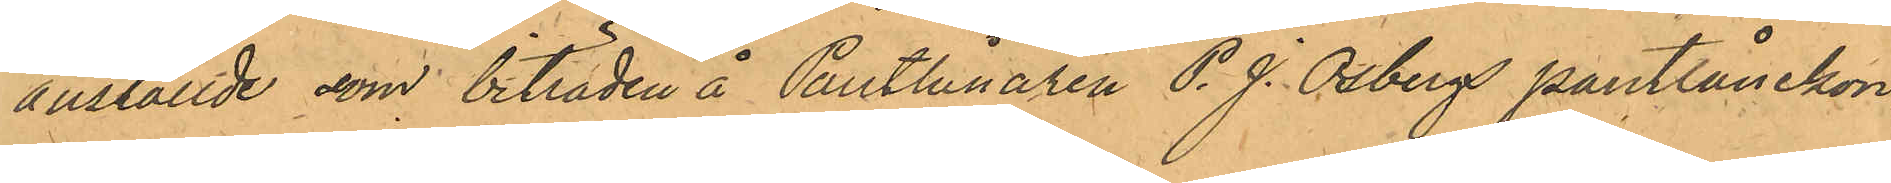anställde som biträden å Pantlånaren P. J. Osbergs Pantlånekon¬
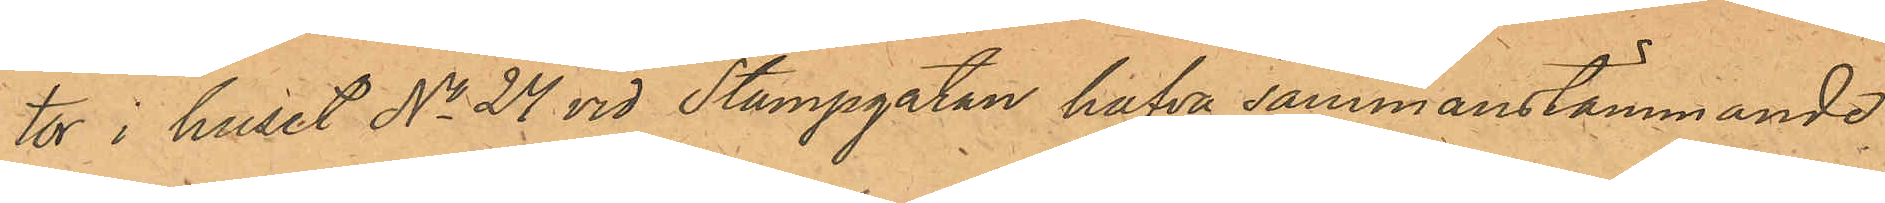tor i huset No 24 vid Stampgatan hafva sammanstämmande
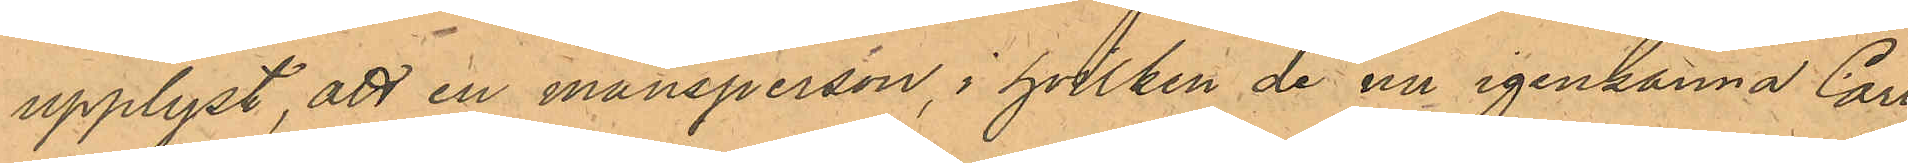upplyst, att en mansperson, i hvilken de nu igenkänna Carl
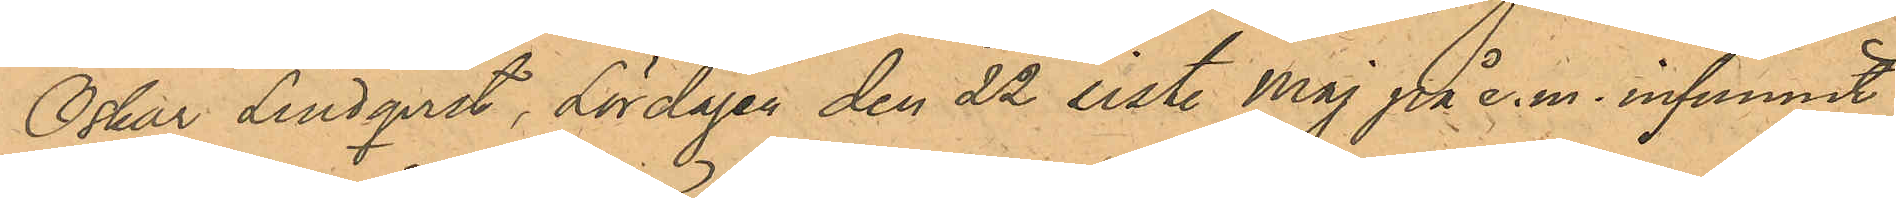Oskar Lindqvist, Lördagen den 22 sist. Maj på e.m. infunnit
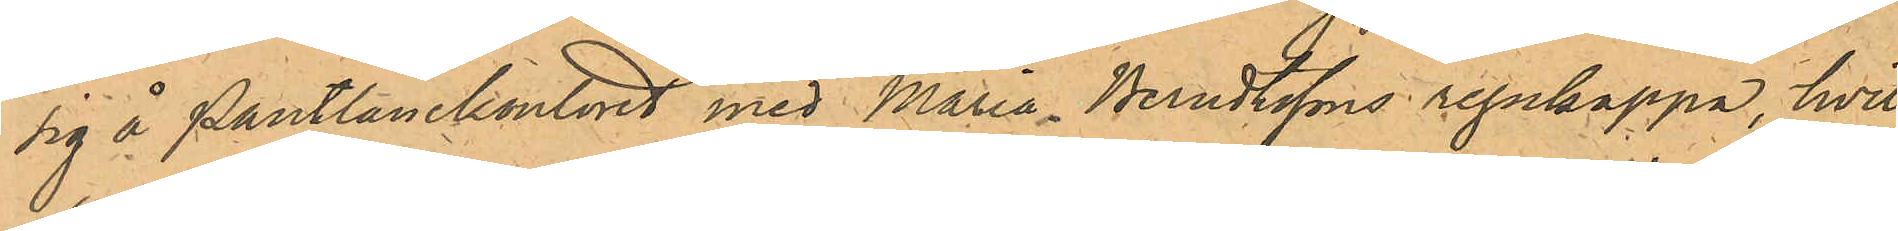sig å Pantlånekontoret med Maria Berndtssons regnkappa, hvil¬
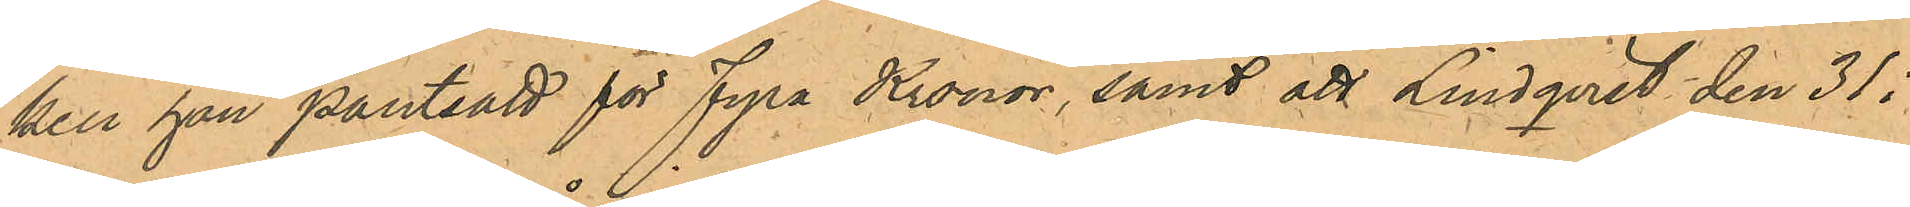kel han pantsatt för Fyra Kronor, samt att Lindqvist den 31 i
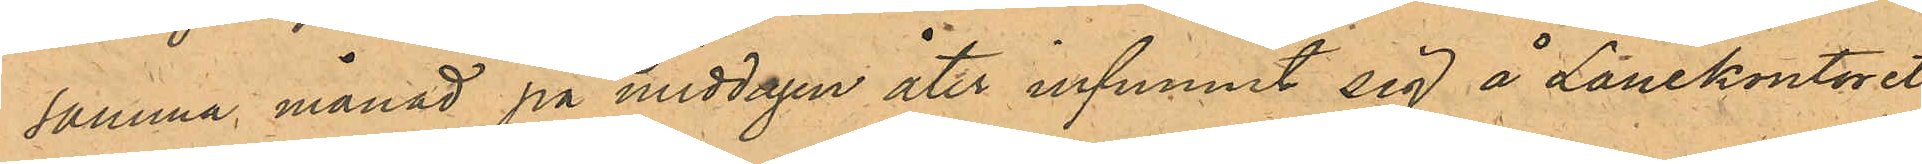samma månad på middagen åter infunnit sig å Lånekontoret,
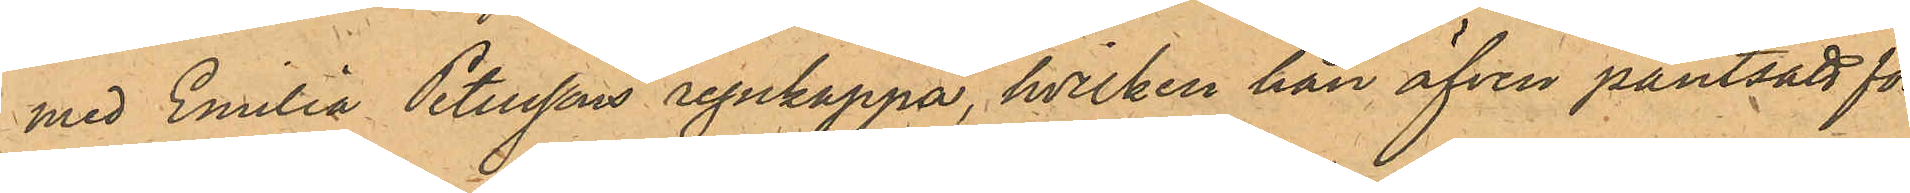med Emilia Peterssons regnkappa, hvilken han äfven pantsatt för
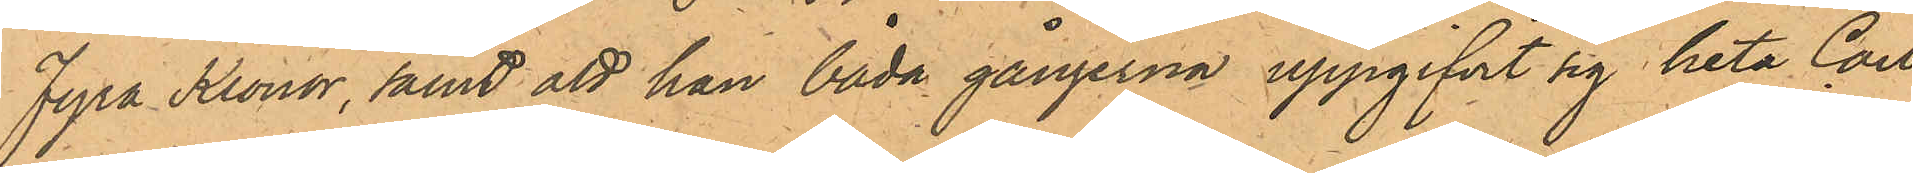Fyra Kronor, samt att han båda gångerna uppgifvit sig heta Carl
